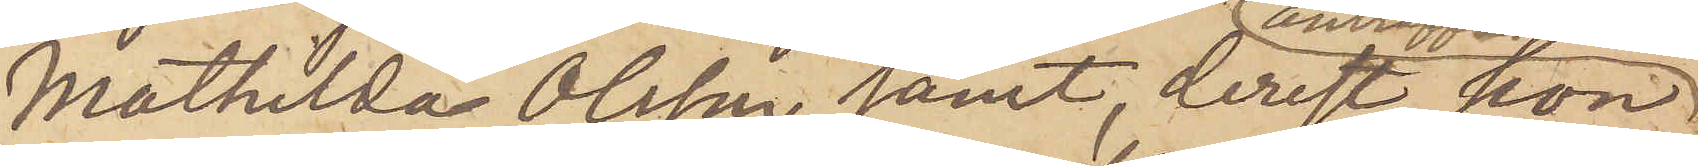Mathilda Olsson samt, derest hon
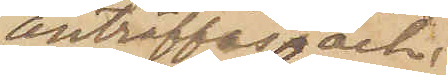anträffas och
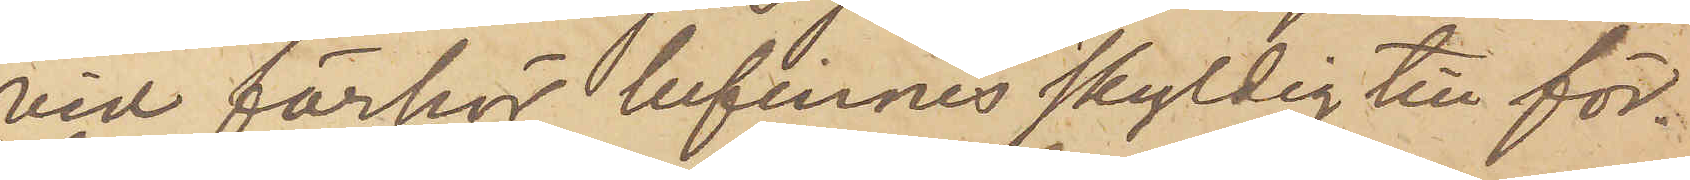vid förhör befinnes skyldig till för¬
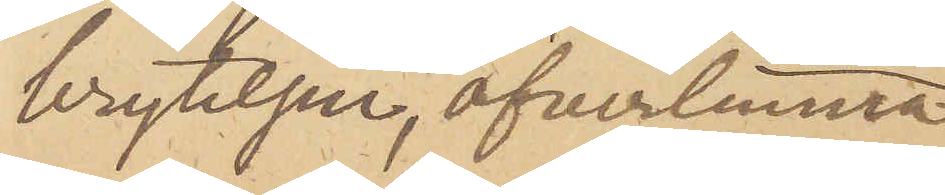brytelsen, öfverlemna
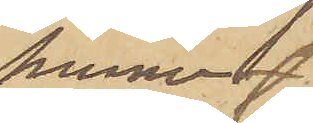henne
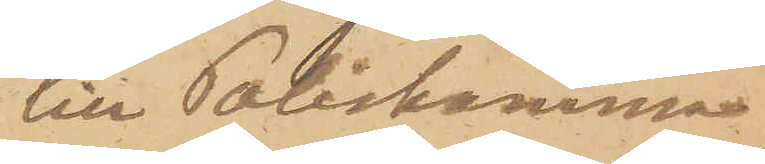till Poliskamma¬
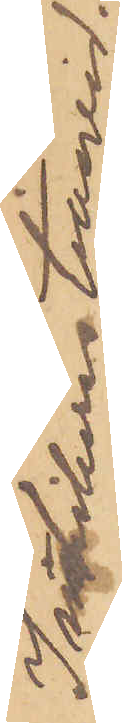Inhiberas tillsvid.
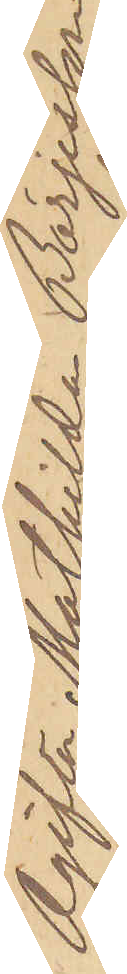Ogifta Mathilda Börjesson
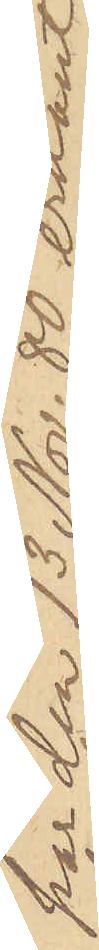har den 13 Nov. 80 erkänt
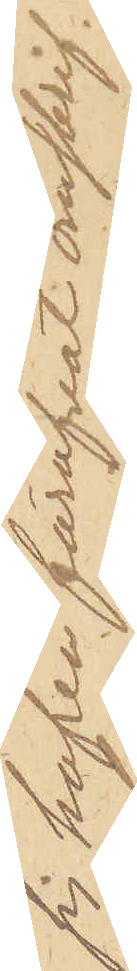sig hafva föröfvat omskrif¬
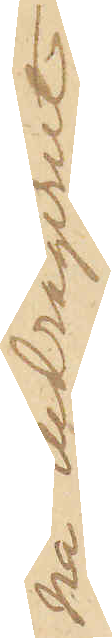na bedrägeriet.
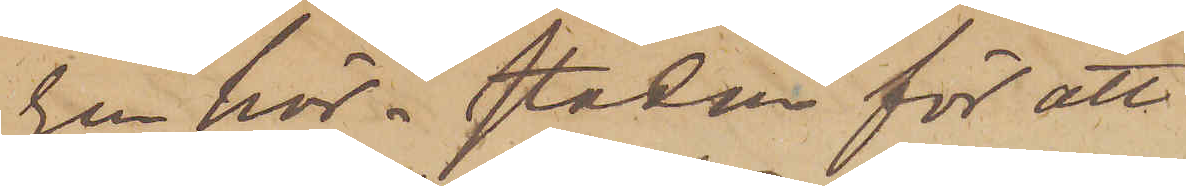ren här i staden för att
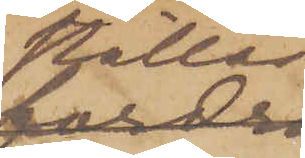ställas
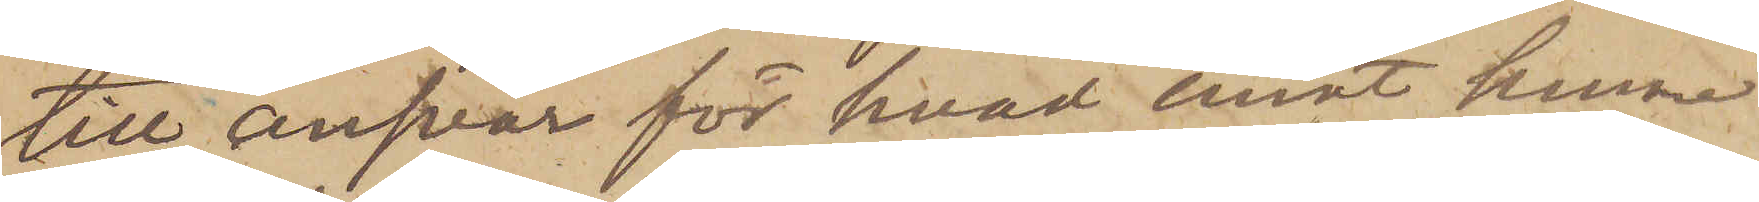till ansvar för hvad emot henne
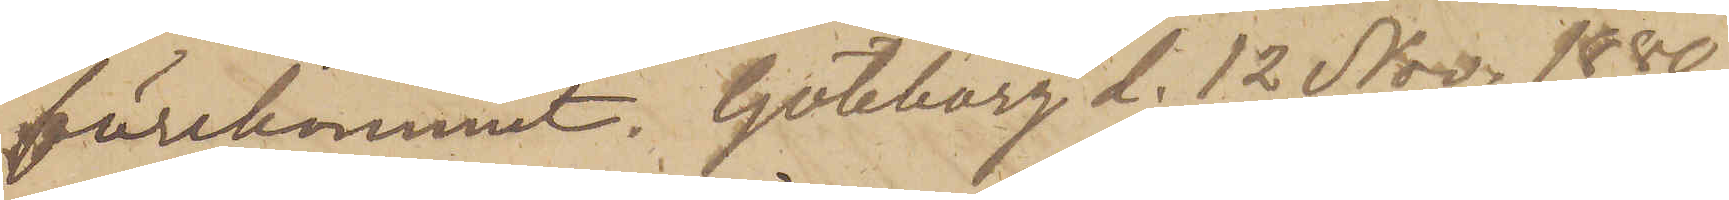förekommit. Göteborg d. 12 Nov. 1880.
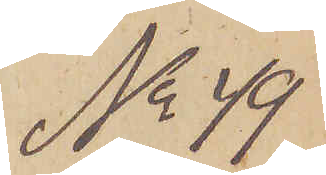No 49
